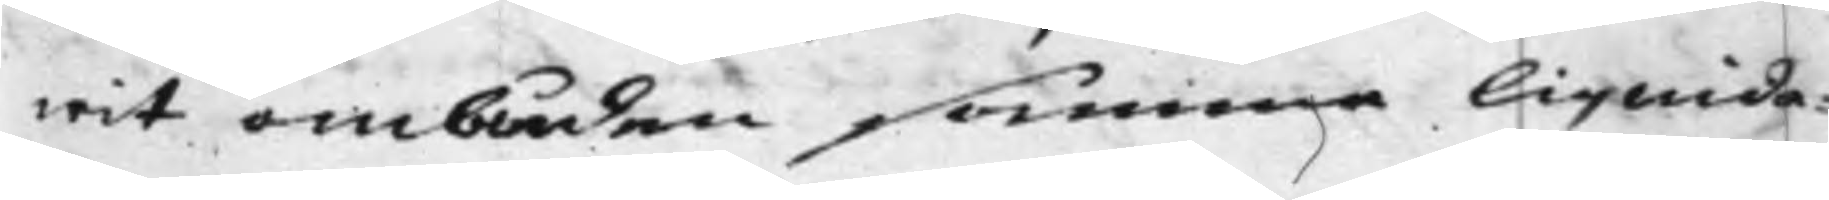wit ombuden samma liquida¬
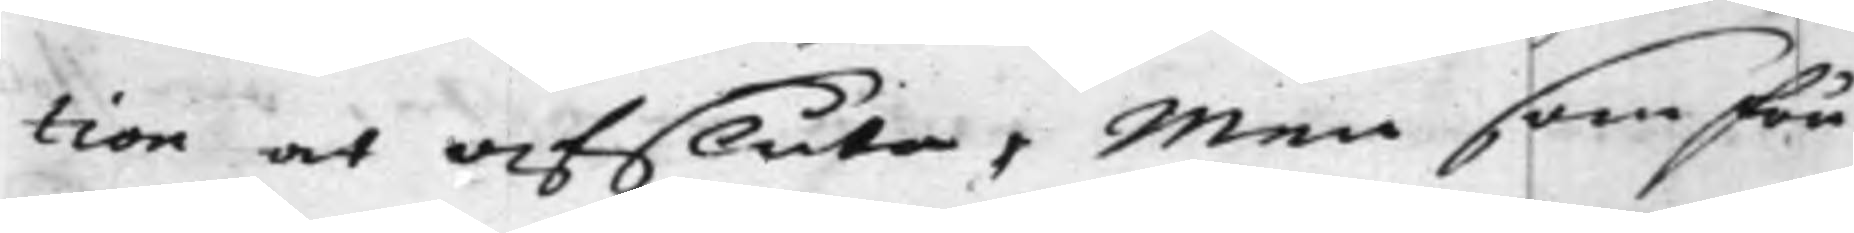tion at afsluta, Men som Fru
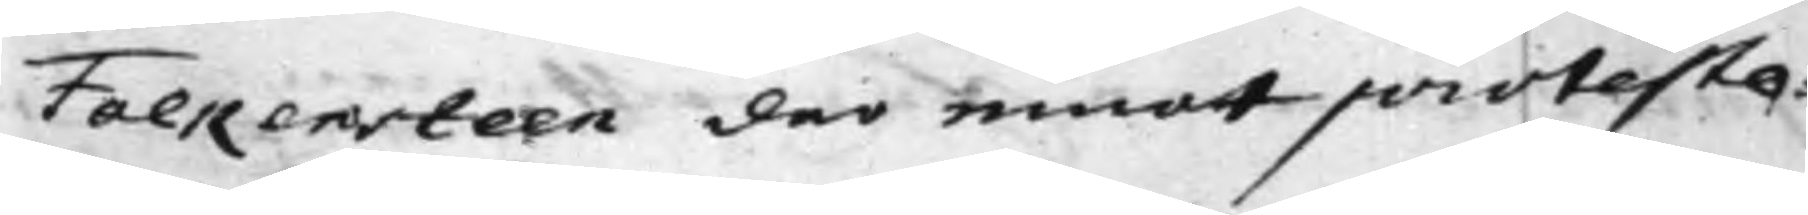Falkensteen der emot proteste¬
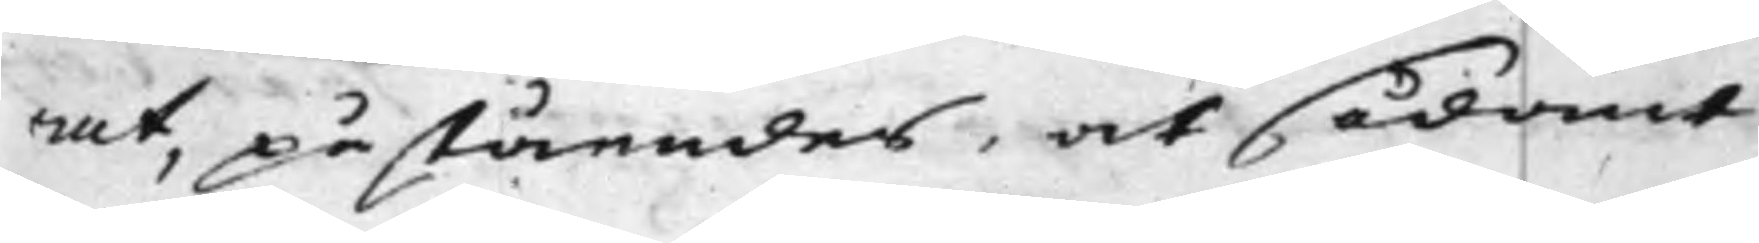rat, påståendes, at sådant
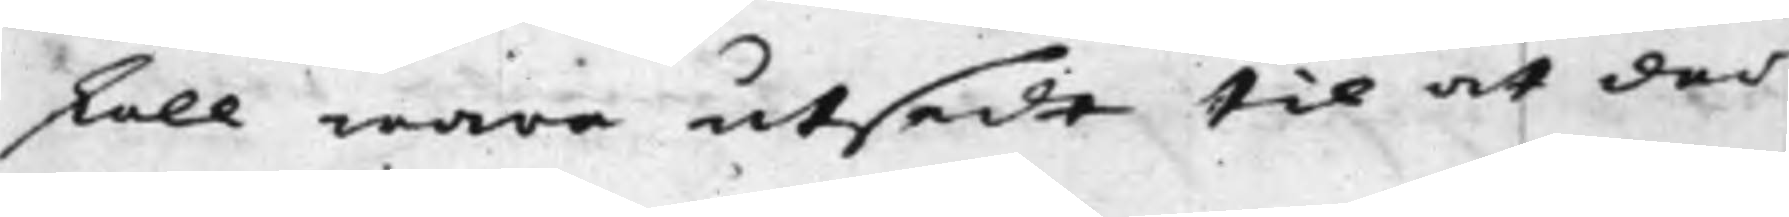skall ware utsedt til at der¬
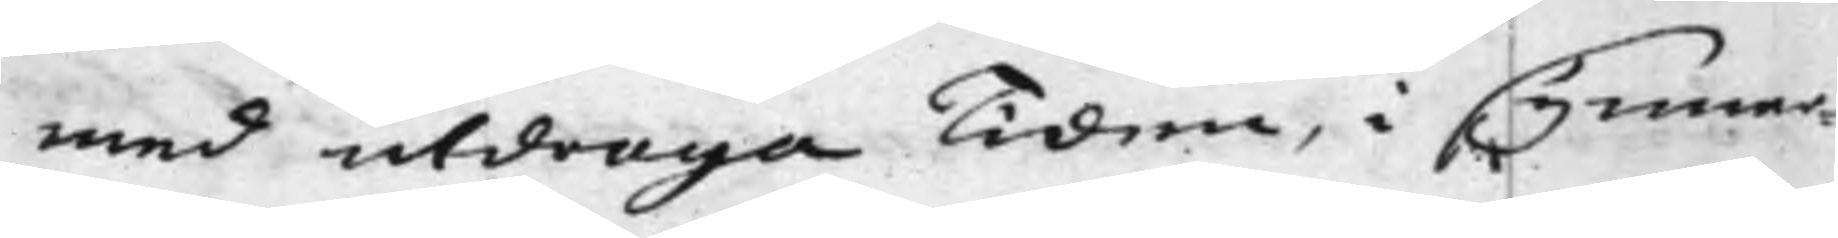med utdraga Tiden, i synner¬
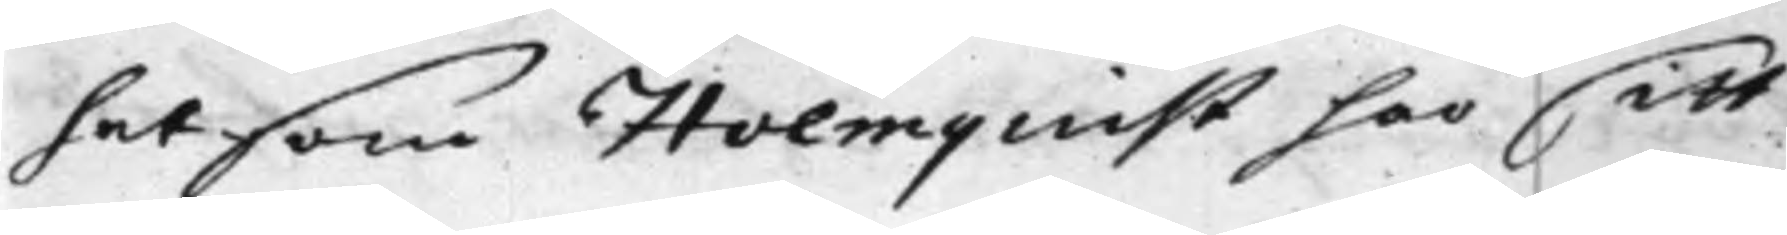het som Holmquist har sitt
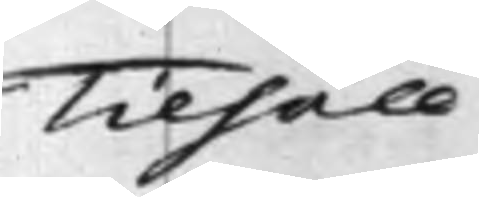Tilhåll
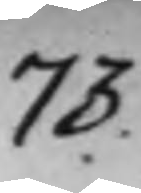73.
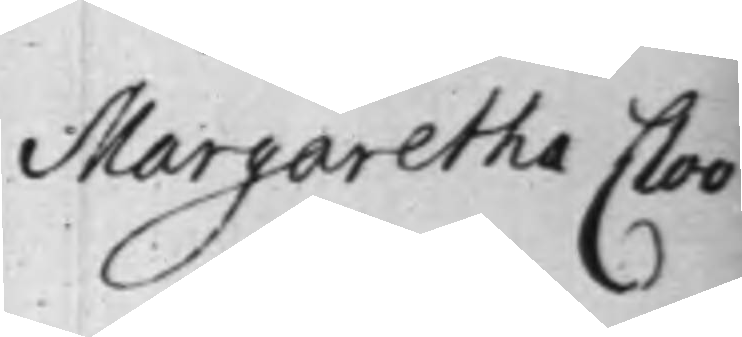Margaretha Cloo
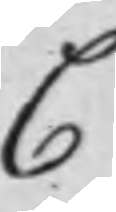C.
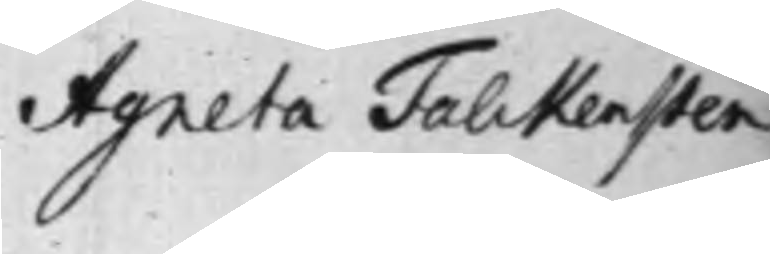Agneta Falckensten
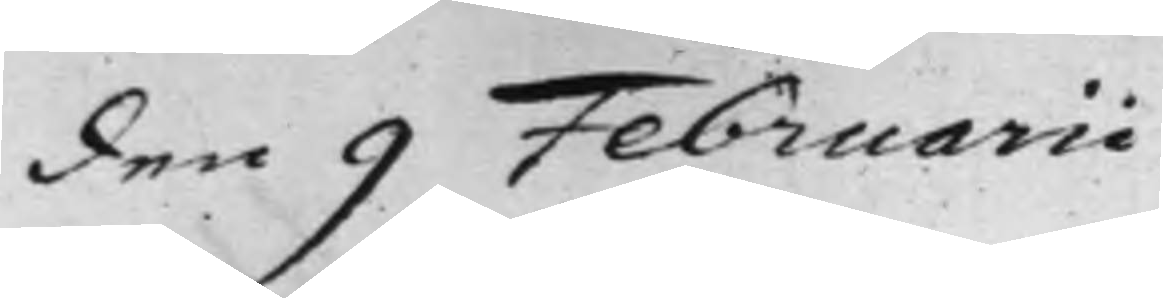den 9 Februarii
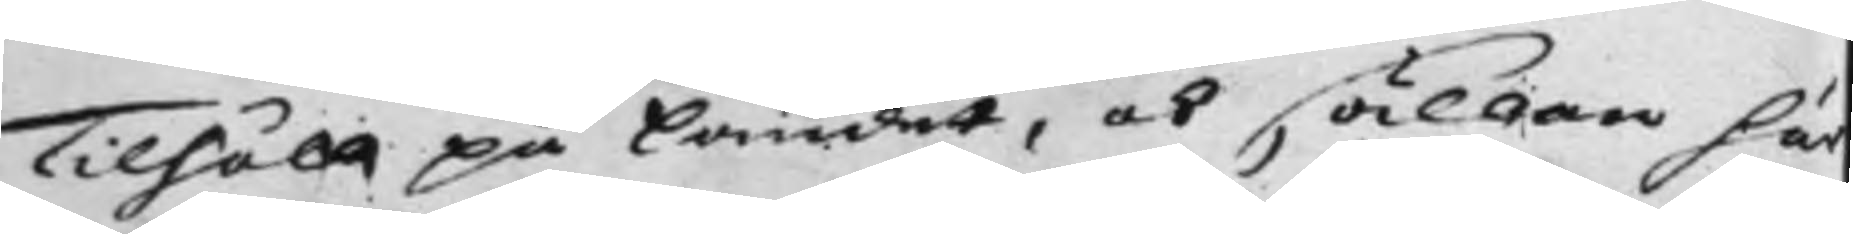Tilhåll på Landet, och sällan här
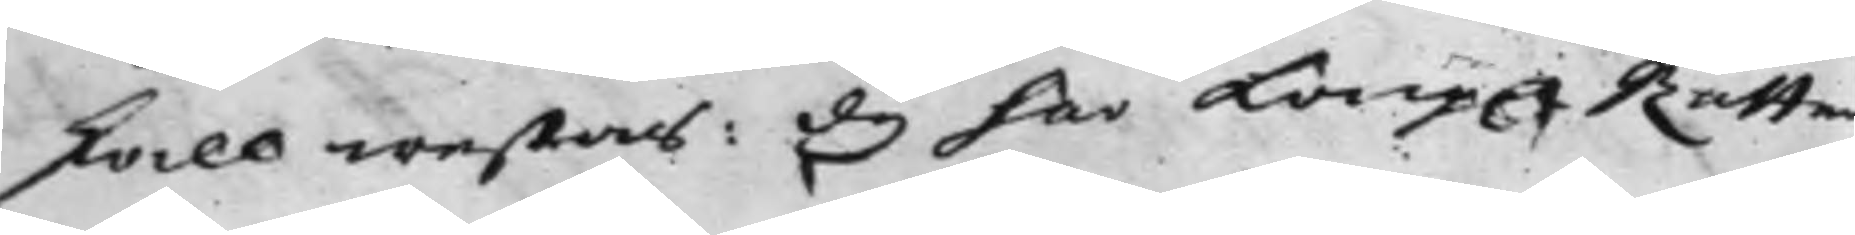skall westas: Dy har Kong. Rätten
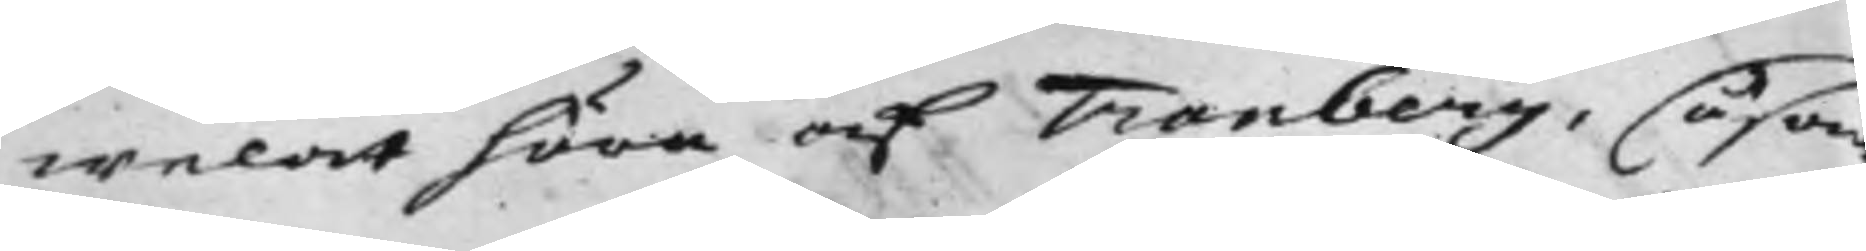welat höra af Tranberg, såsom
